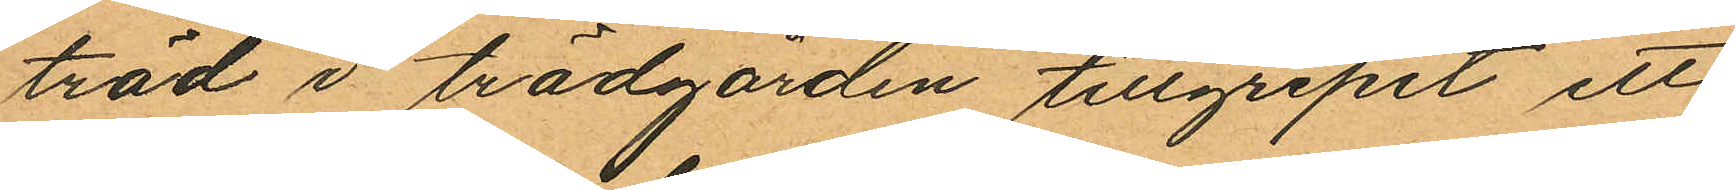träd i trädgården tillgripit ett
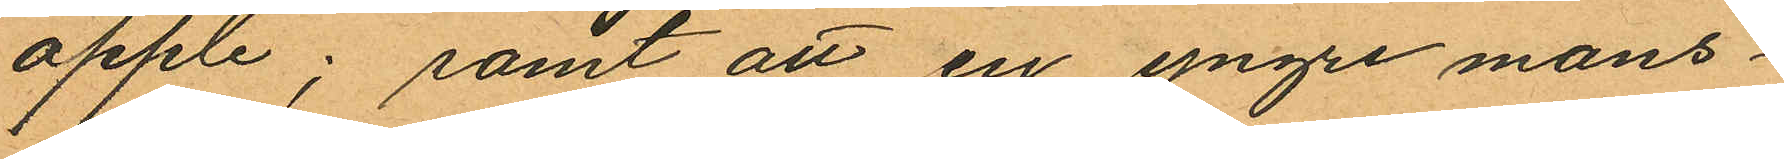äpple; samt att en yngre mans¬
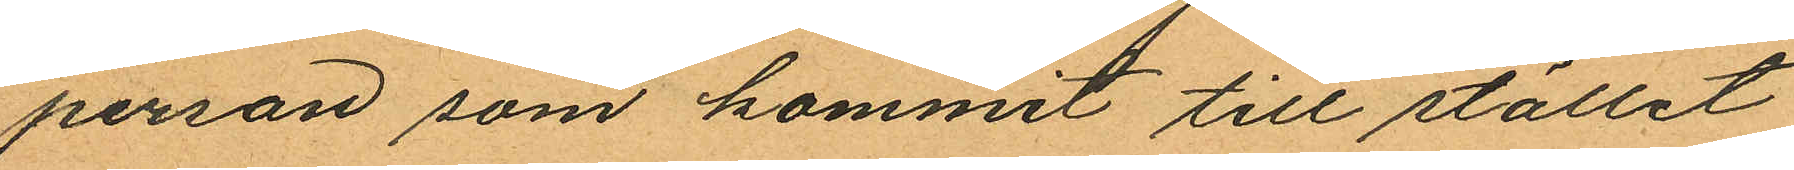person som kommit till stället
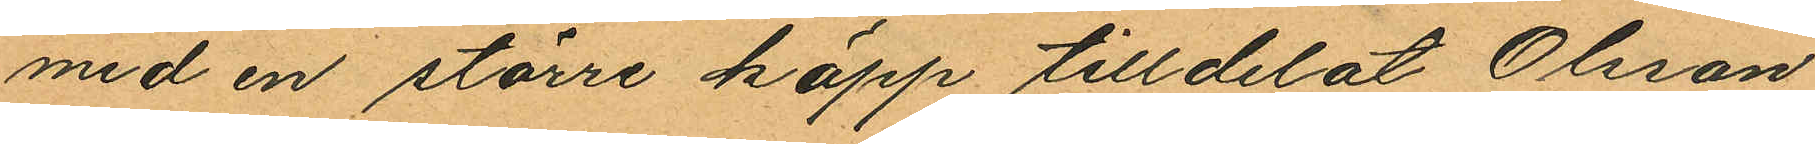med en större käpp tilldelat Olsson
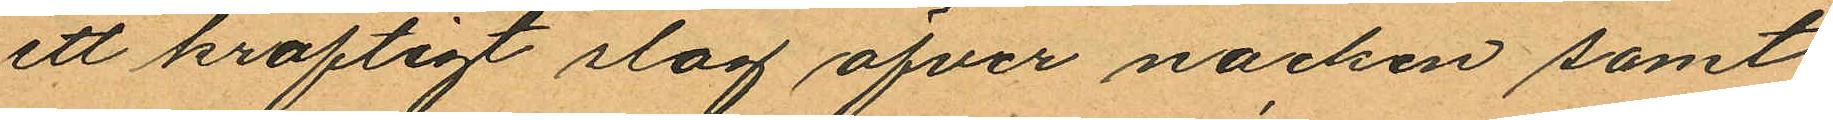ett kraftigt slag öfver nacken samt
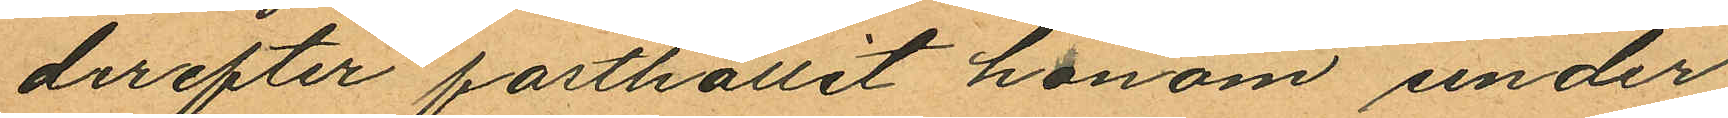derefter fasthållit honom under
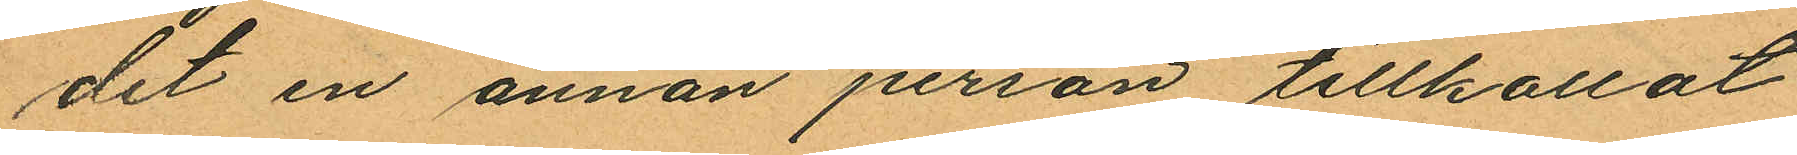det en annan person tillkallat
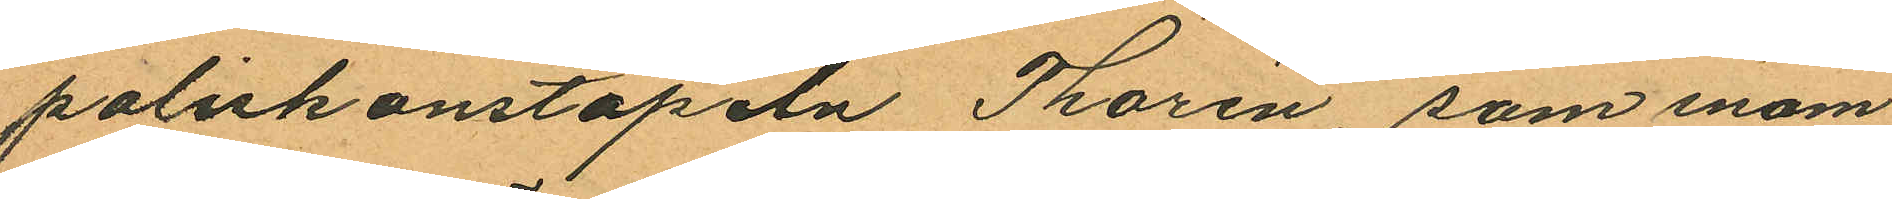poliskonstapeln Thorén, som inom
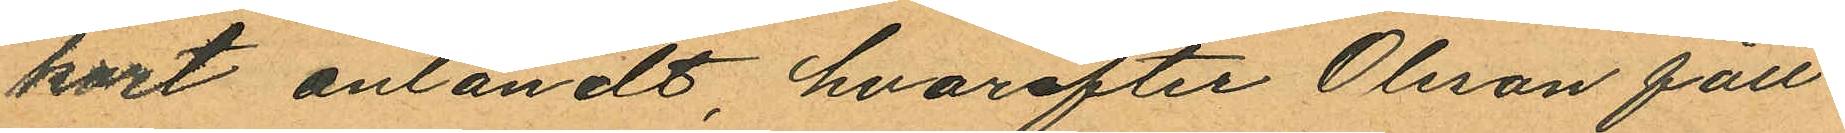kort anländt, hvarefter Olsson fått
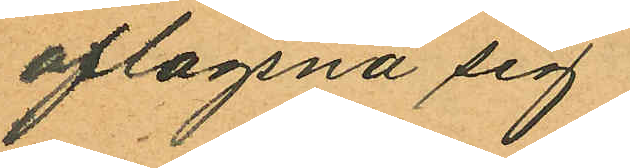aflägsna sig.
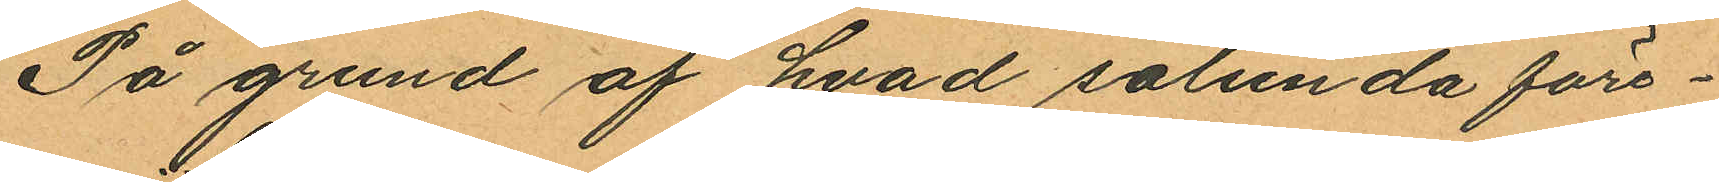På grund af hvad sålunda före¬
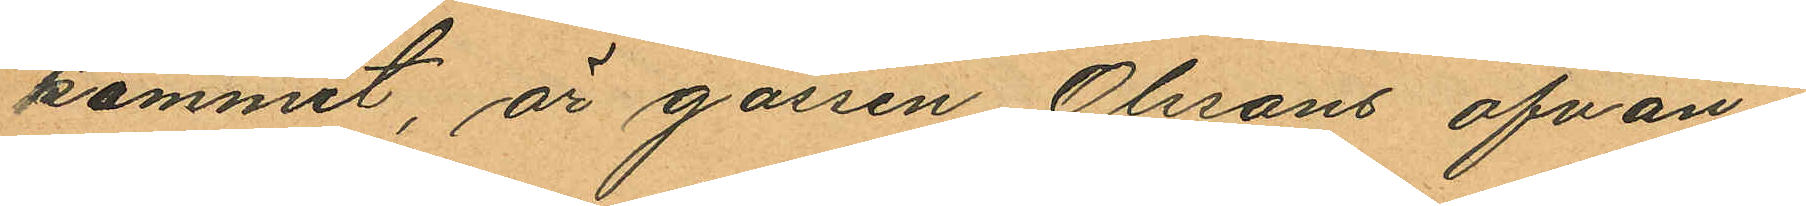kommit, är gossen Olssons ofvan¬
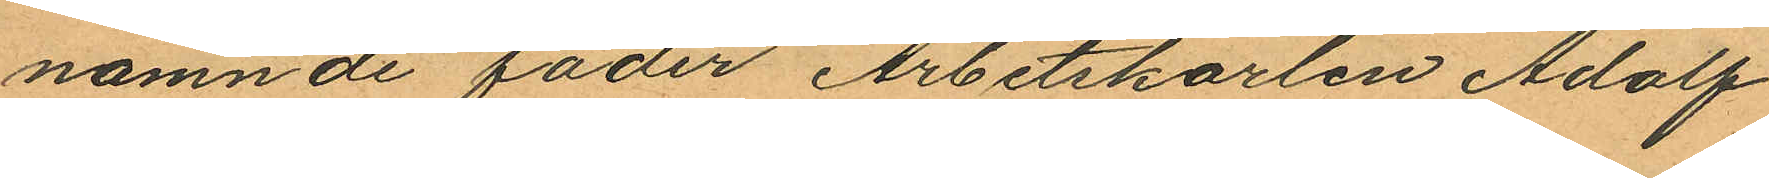nämnde fader Arbetskarlen Adolf
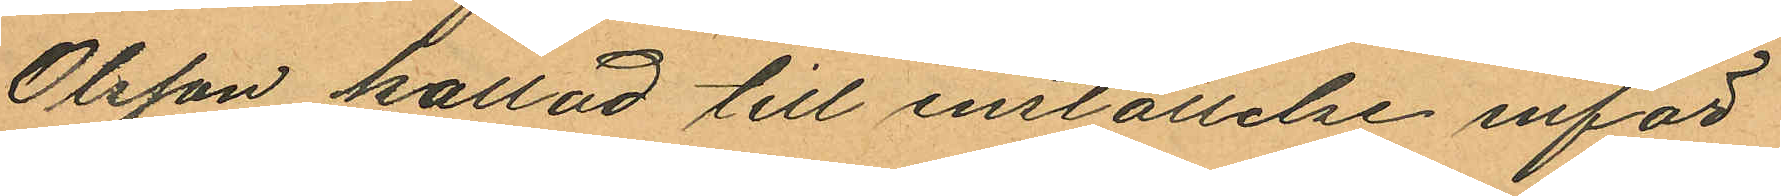Olsson kallad till inställelse inför
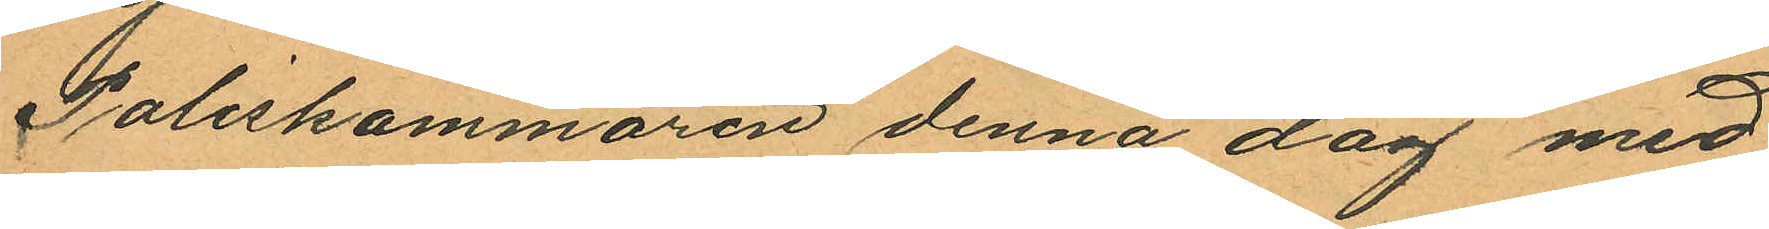Poliskammaren denna dag med
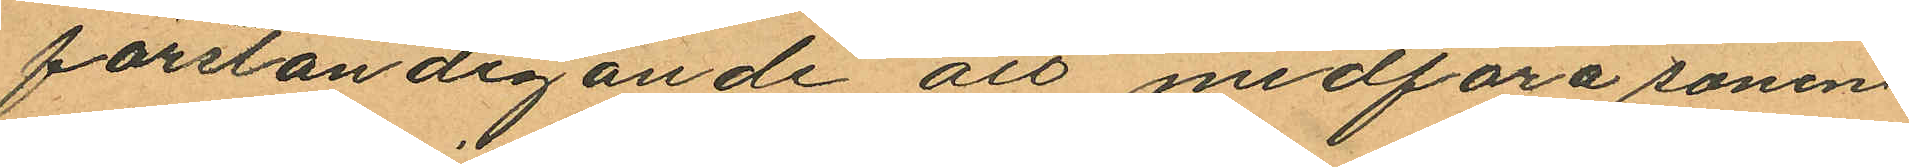förständigande att medföra sonen
